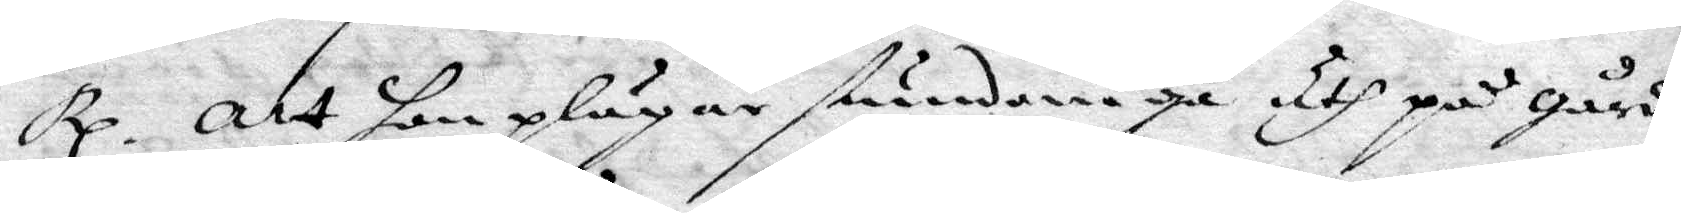Rp. Att hon plägar stundom gå uth på gården
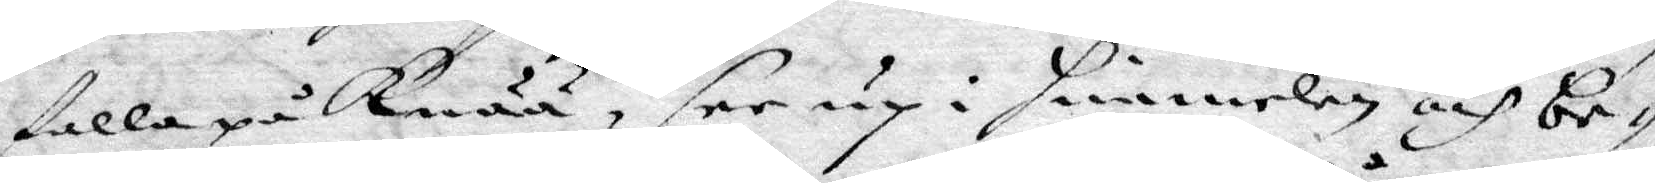falla på Knää, see up i himmelen och be¬
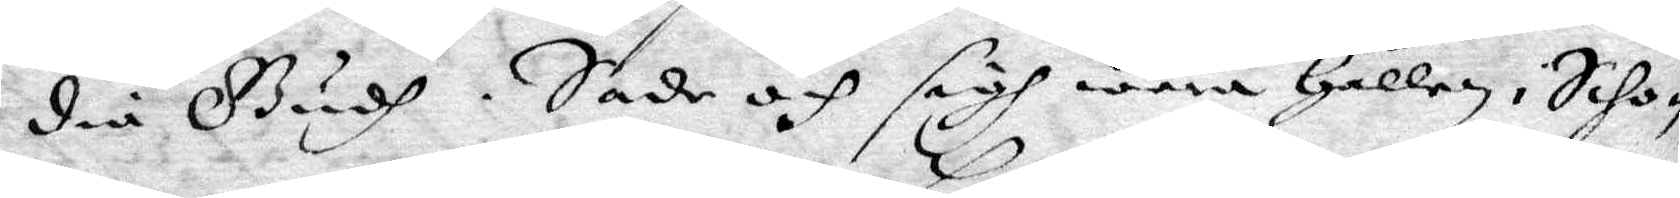dia Gudh. Sade och sigh wara Hållen i Scho¬
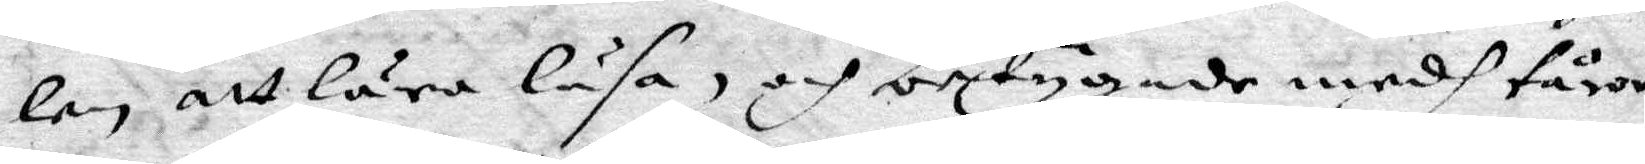lan, att lära läsa, och betygade medh tårar
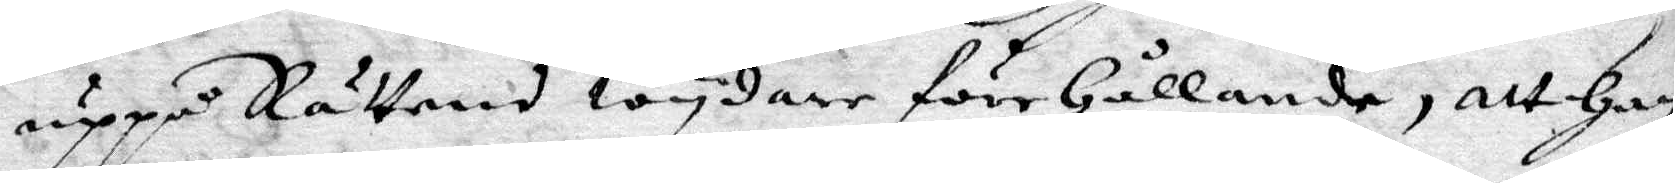uppå Rättens wydare föreHållande, att Han
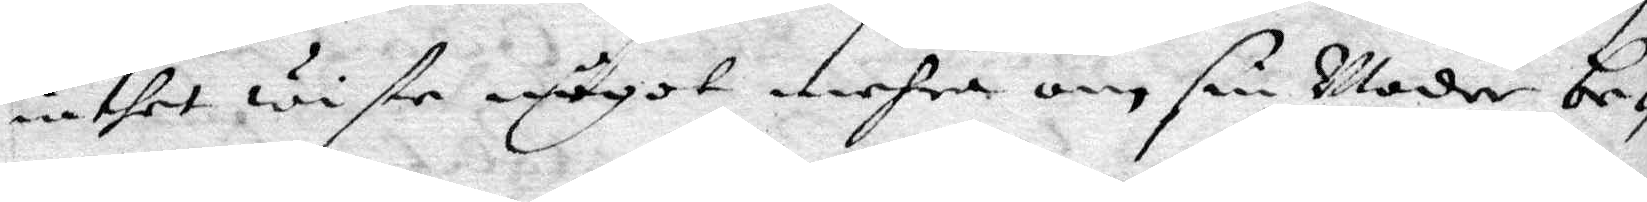inthet wiste något mehra om sin Moder be¬
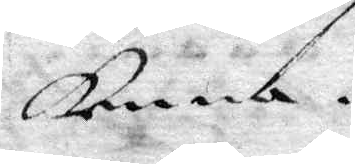kenna.
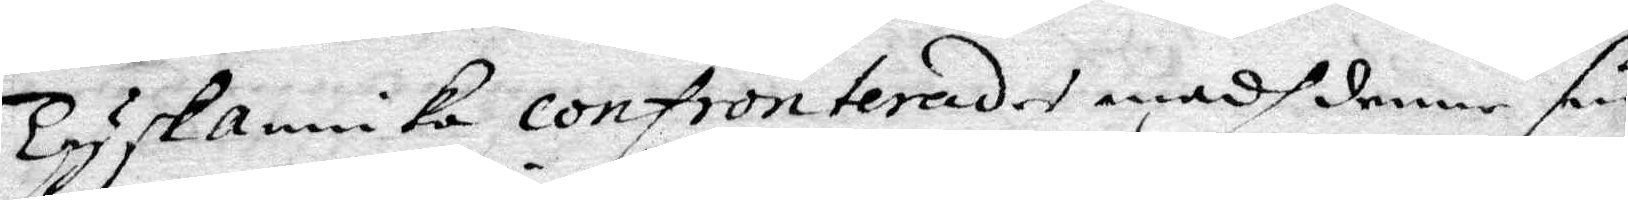Tysk annika confronterades medh denne sin
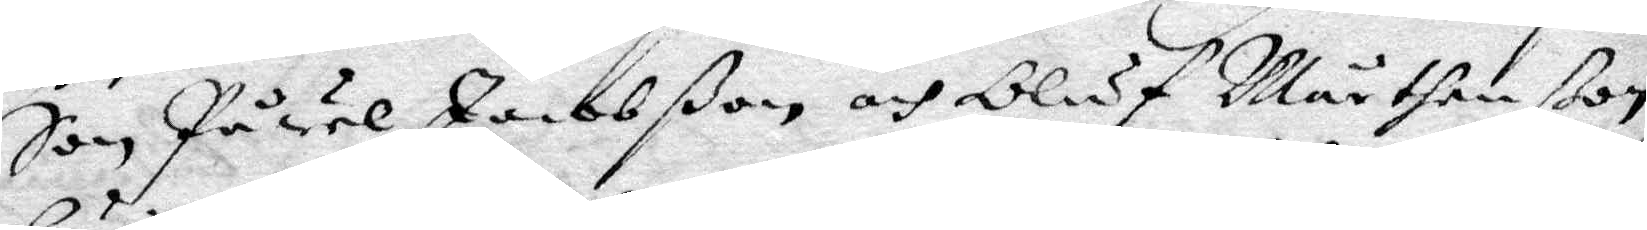Son Påwel Jacobßon och Oluf Mårtenßon
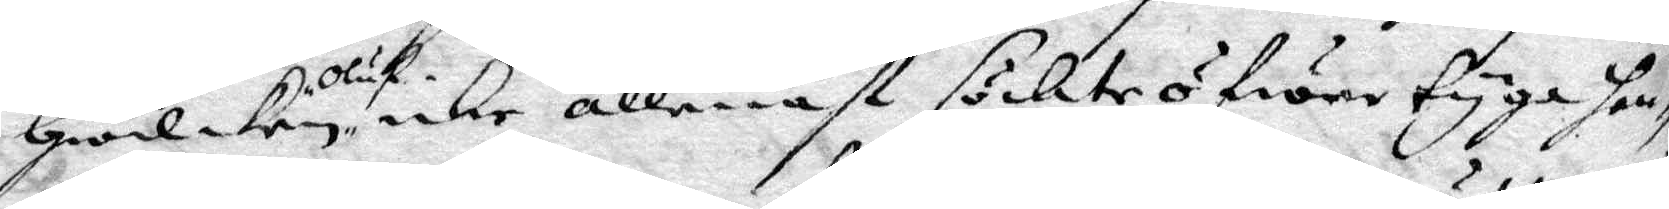Hwilken Oluf icke allenast söckte ögwetyga hen¬
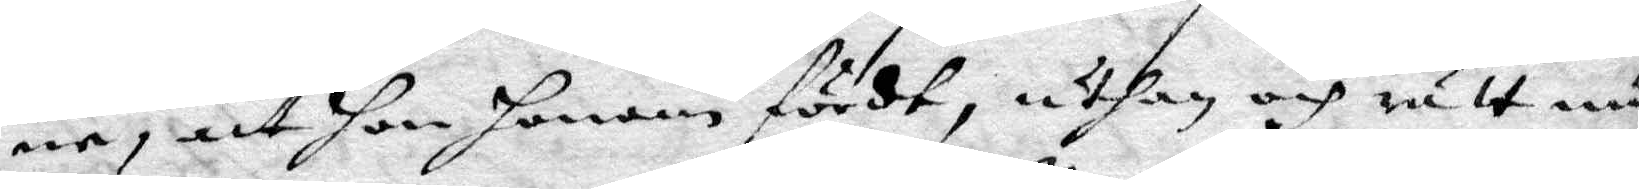ne, att hon honom fördt, uthan och rätt nu
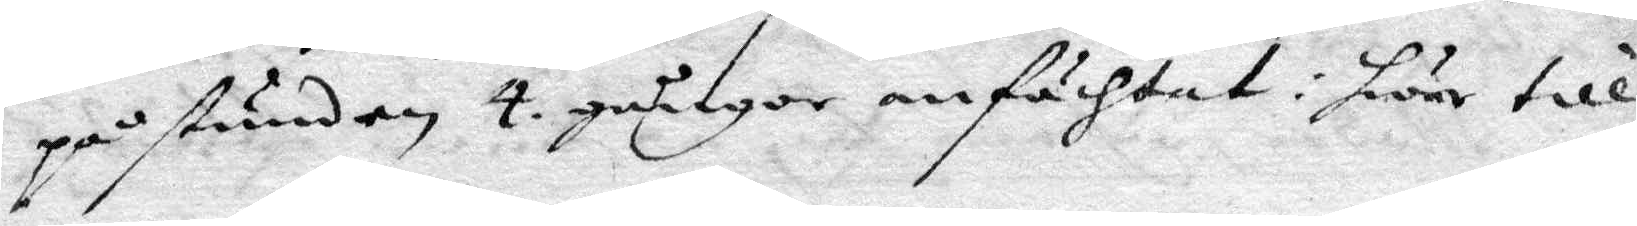på stunden 4. gånger anfechtat : hwar till
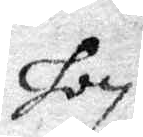hon
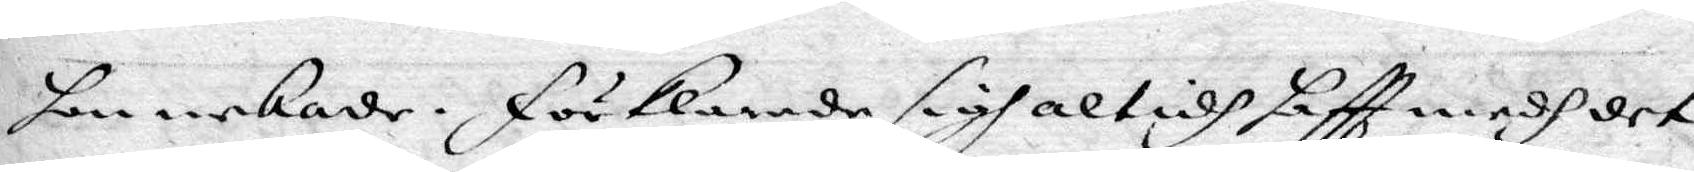hon nekade, förklarade sigh altidh haftt medh det
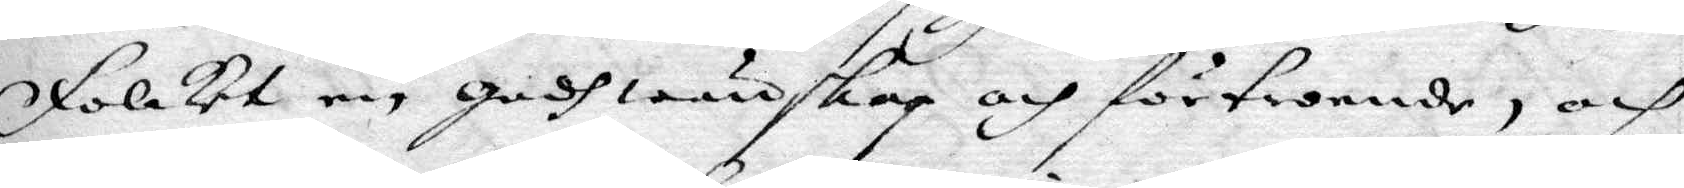Folket en godh wänskap och förtroende, och
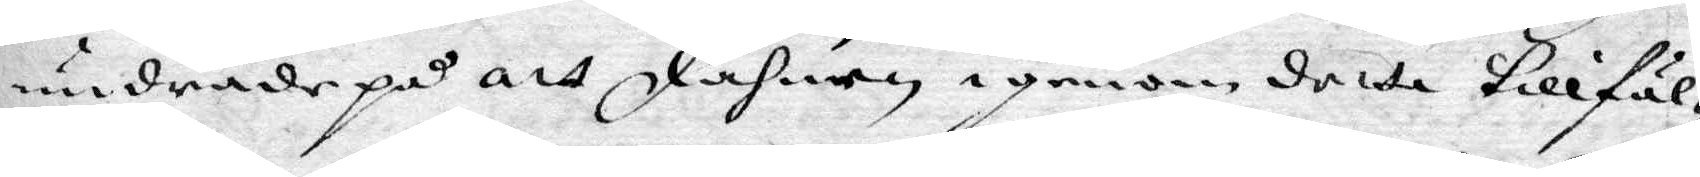undrade på att Fahnen igenom detta tillfäl¬
